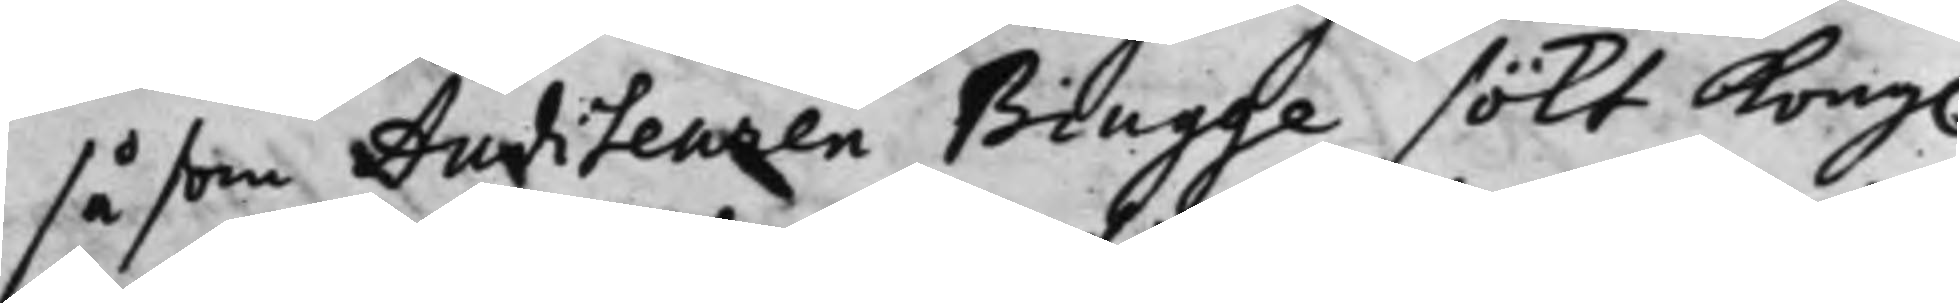såsom Auditeuren Biugge sökt Kong.
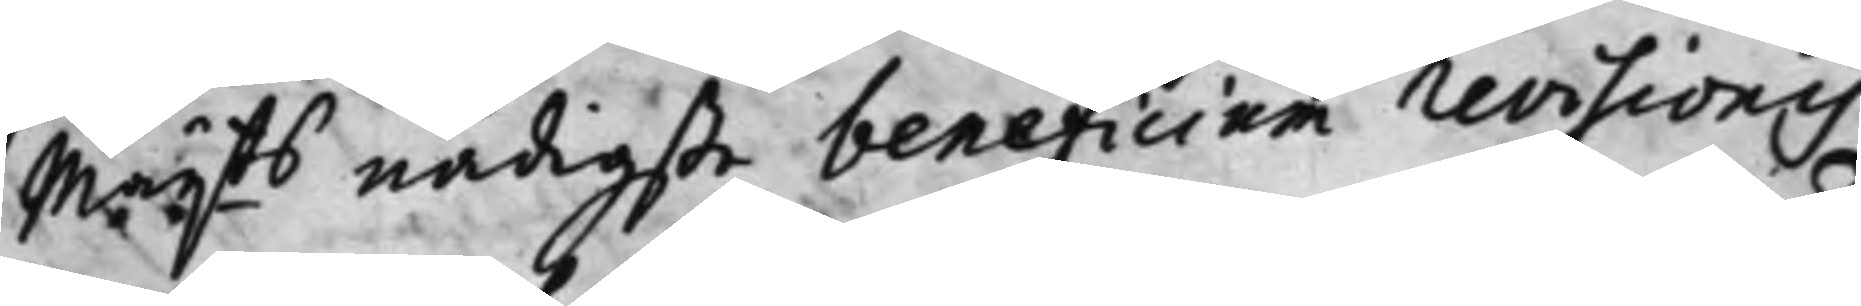Maij.tts nådigste beneficium revisionis
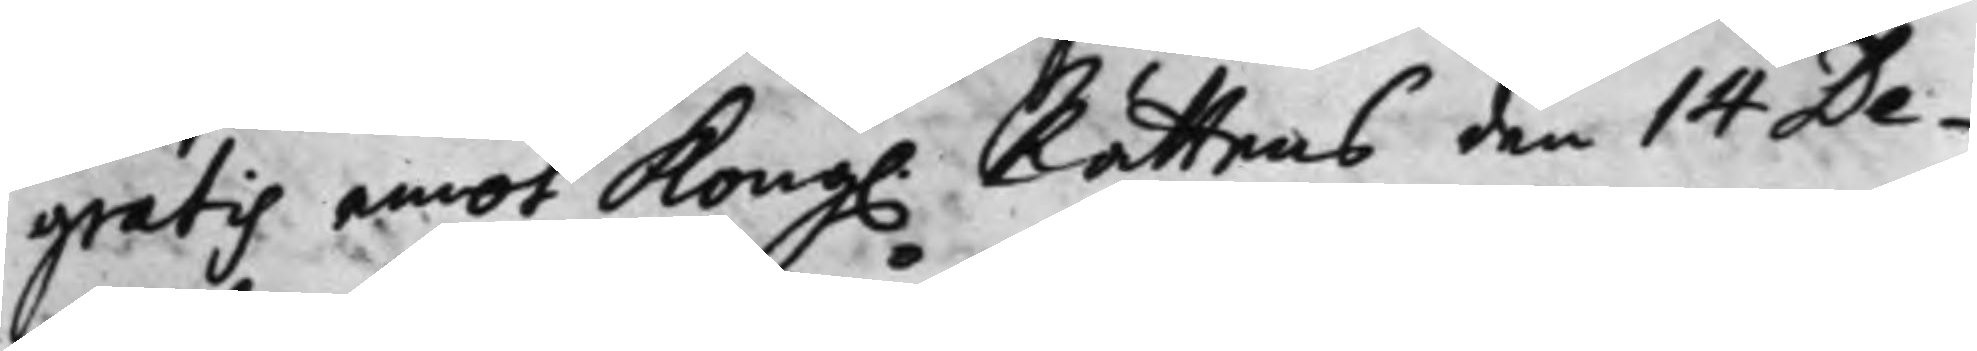gratis emot Kong. Rättens den 14 De¬
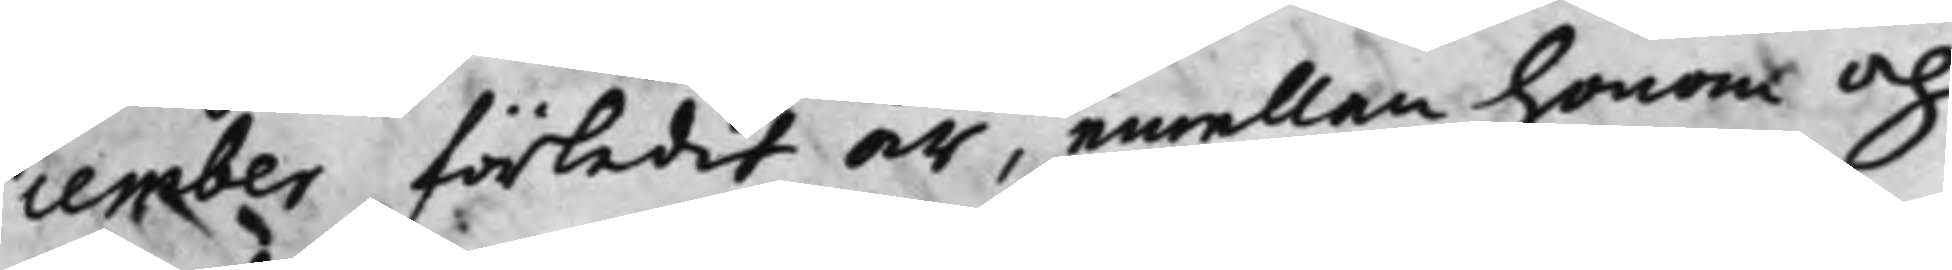cember förledit år, emellan Honom och
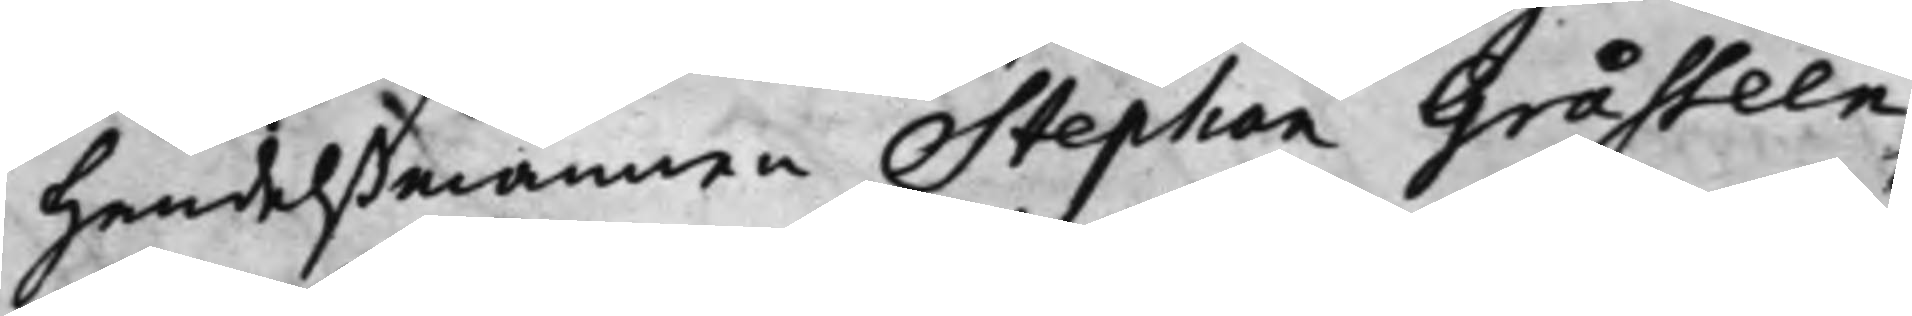Handelßmannen Stephan Gråsteen
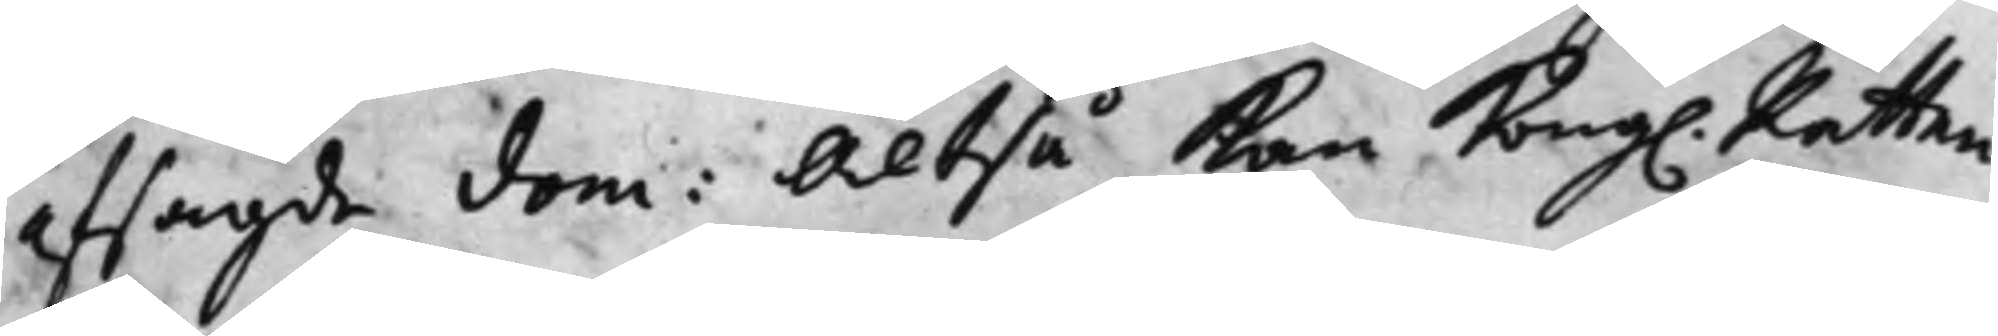afsagde dom: Altså Kan Kong. Rätten
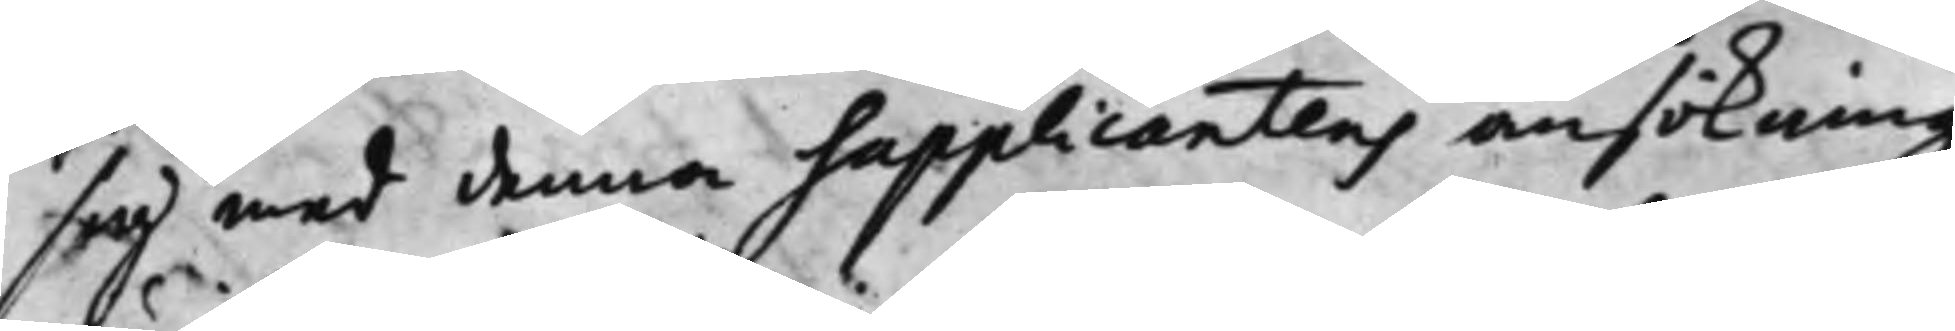sig med denna Supplicantens ansökning
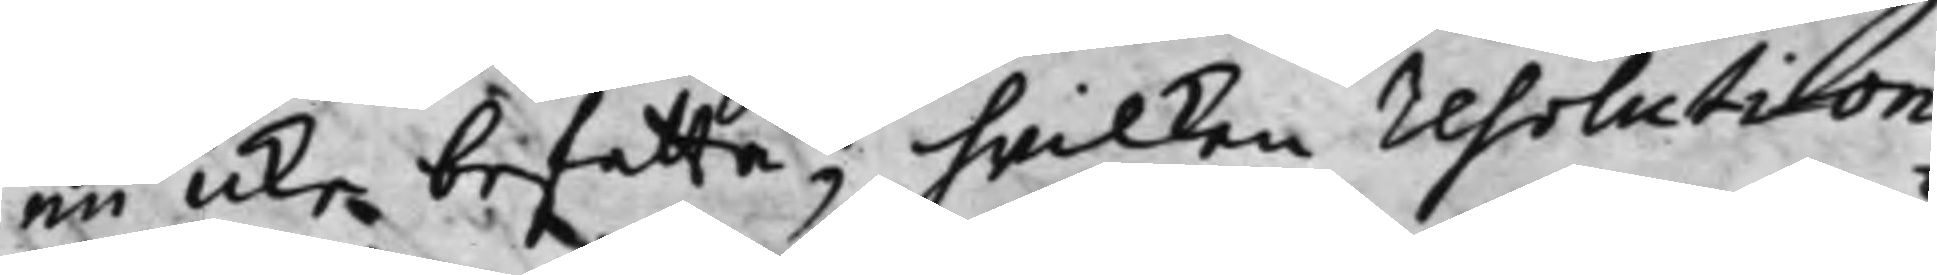nu icke befatta; hwilcken resolution
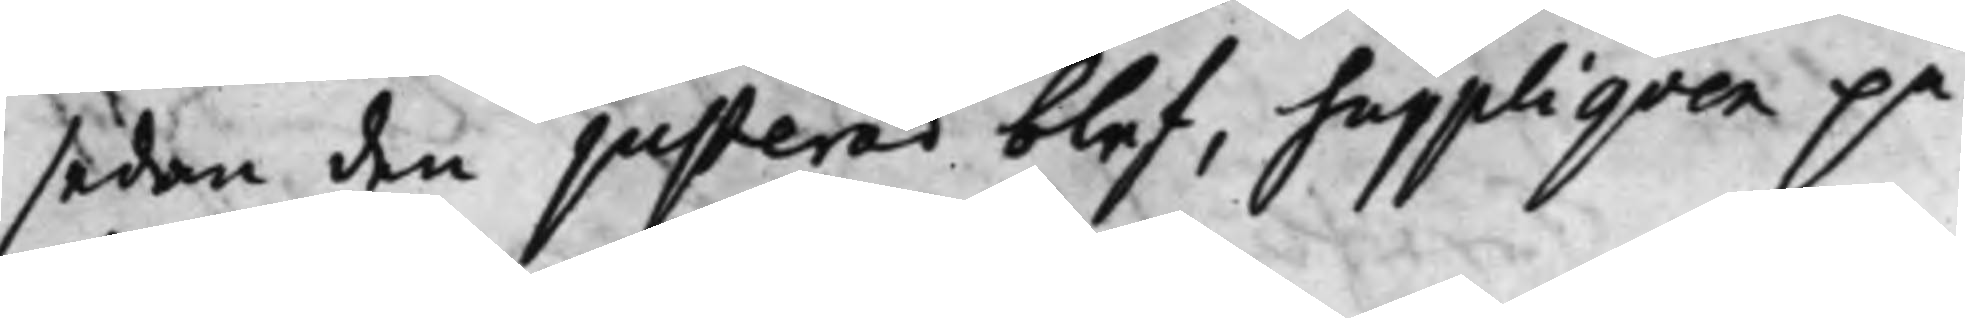sedan den justerad blef, suppliqven på
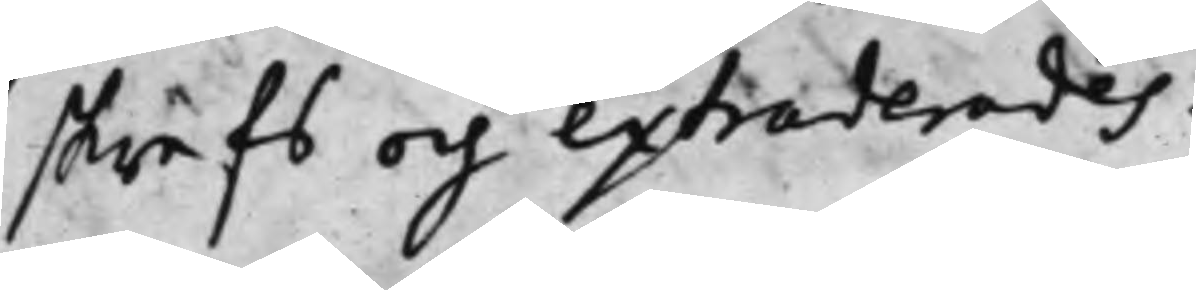skrefs och extraderades.
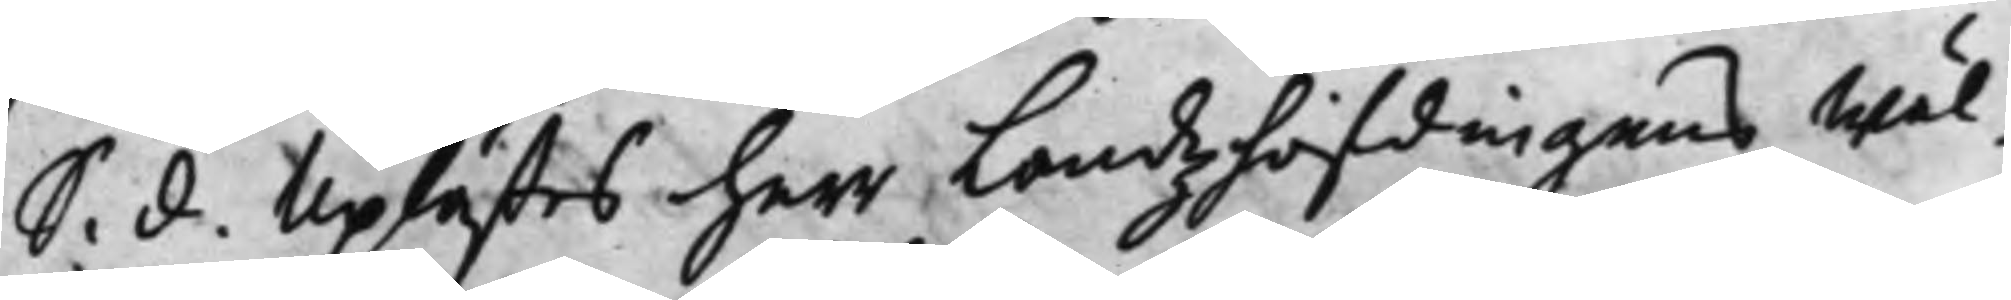S. d. Uplästes herr Landzhöfdingens Wäl¬
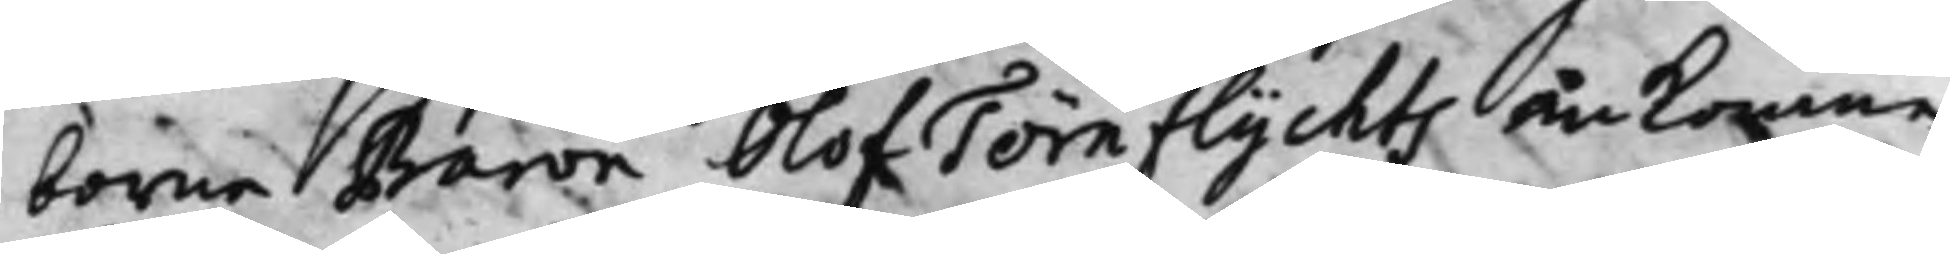borne Baron Olof Törnflychts ankomne
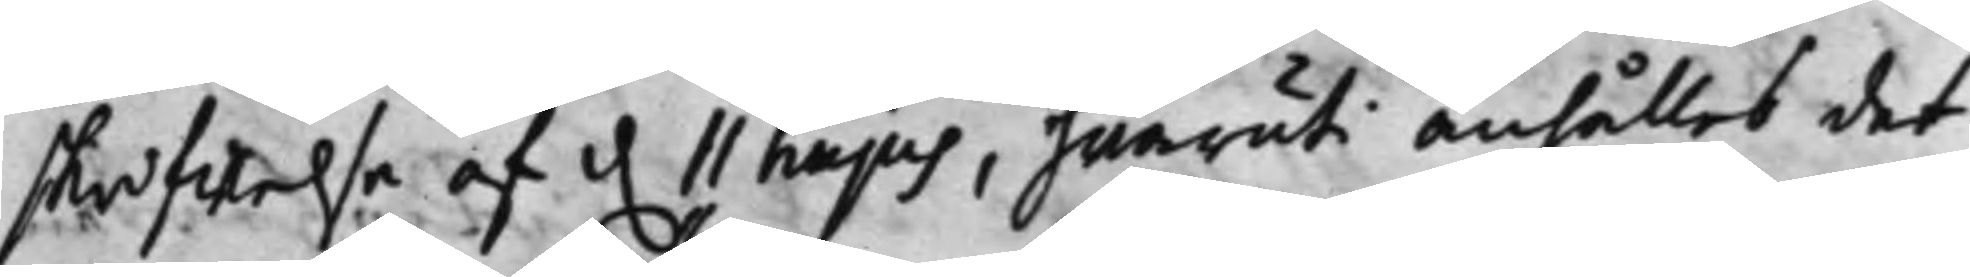skrifwelse af d. 11 hujus, hwaruti anhålles det
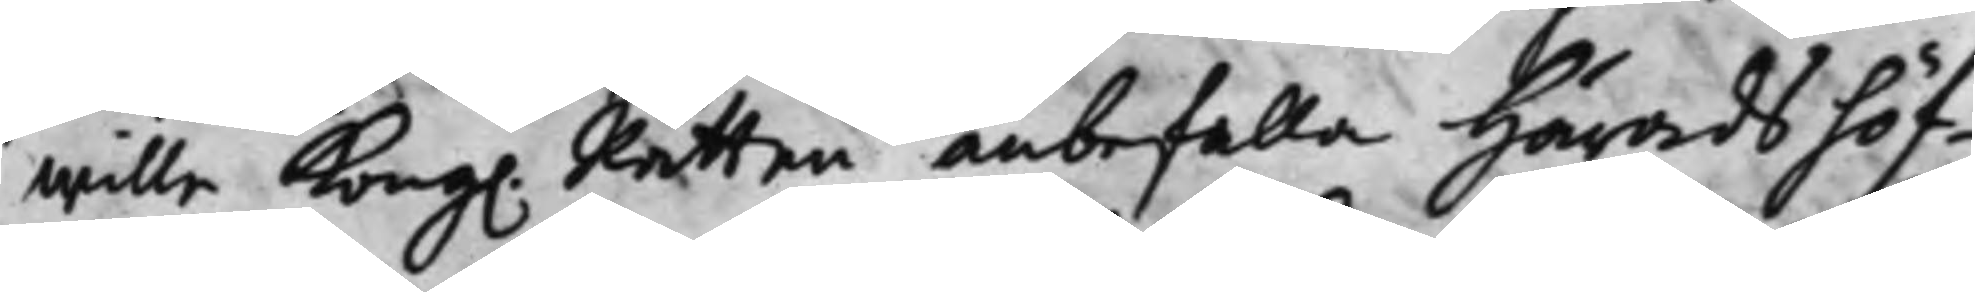wille Kong. Rätten anbefalla Häradshöf¬
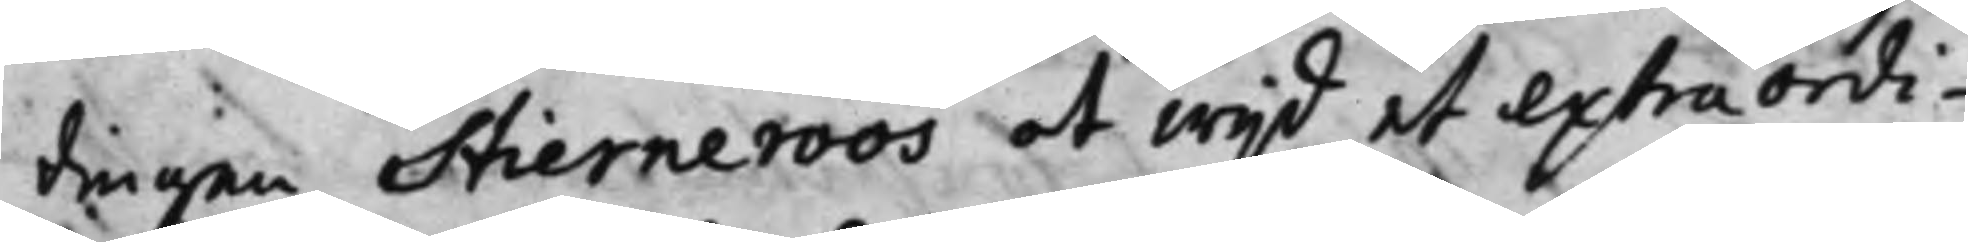dingen Stierneroos at wijd et extraordi¬
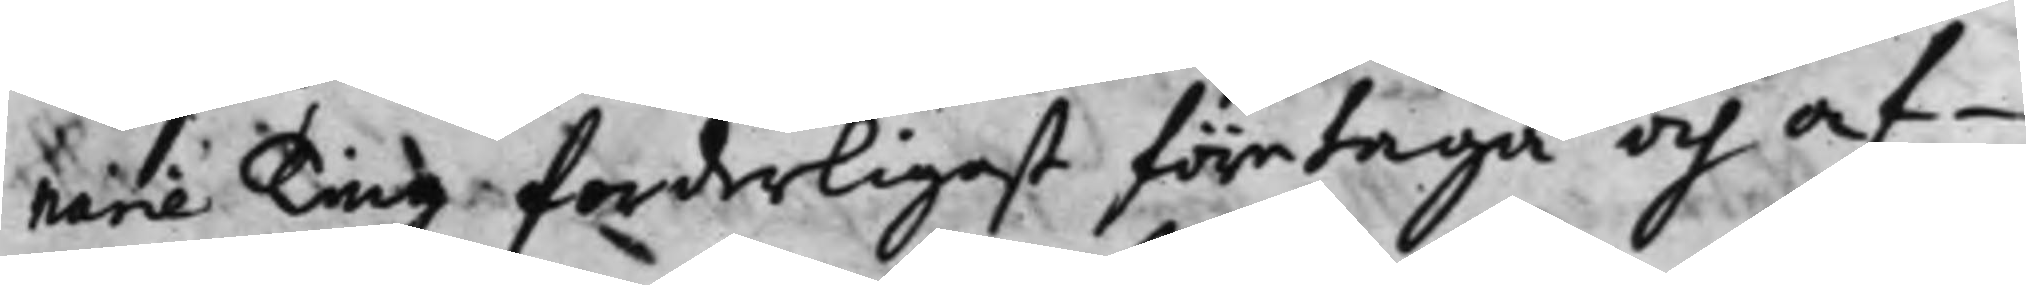narie Ting forderligast företaga och af¬
